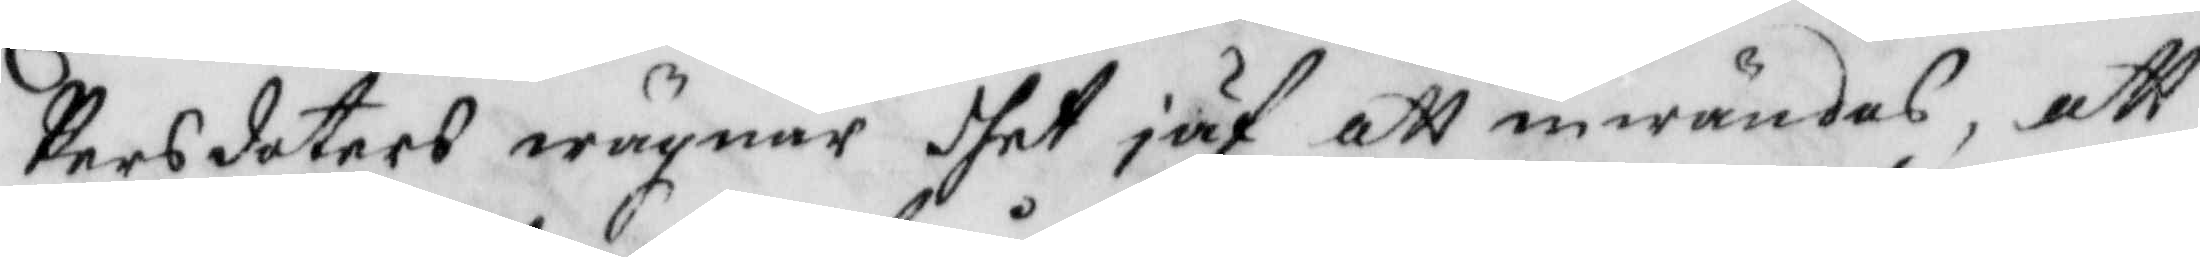Persdotters wägnar dhet jäf att inwändas, att
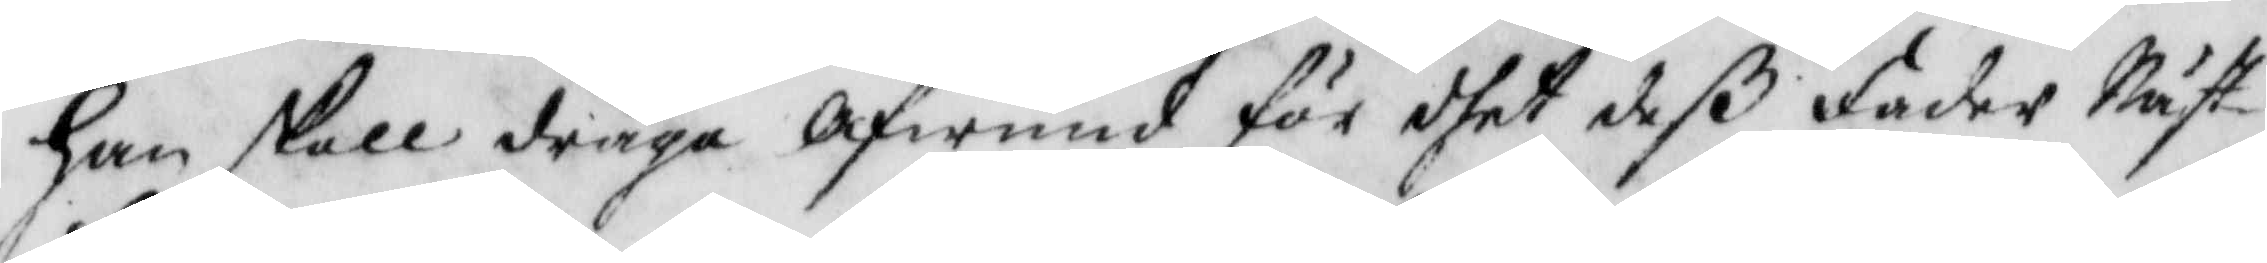han skall draga afwund för det deß fader Näst¬
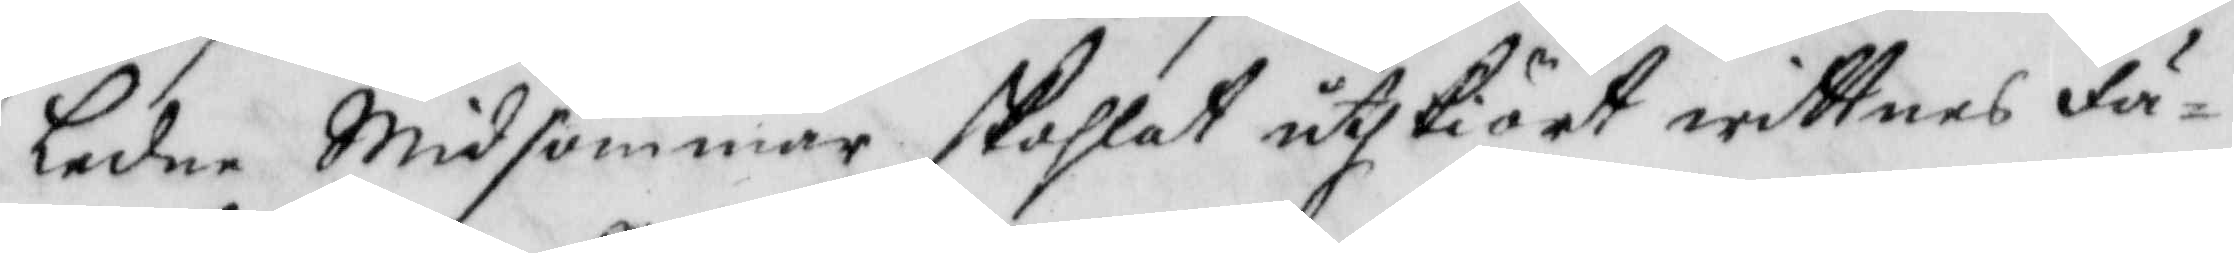ledne Midsommar skohlat utskiört wittnes fä¬
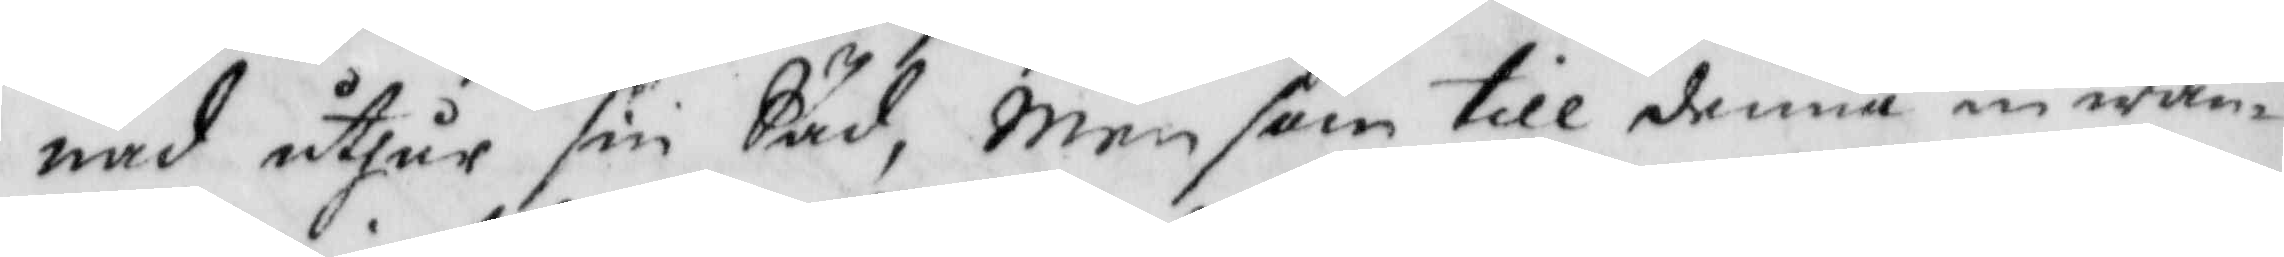nad uthur sin Säd, men som till denna inwän¬
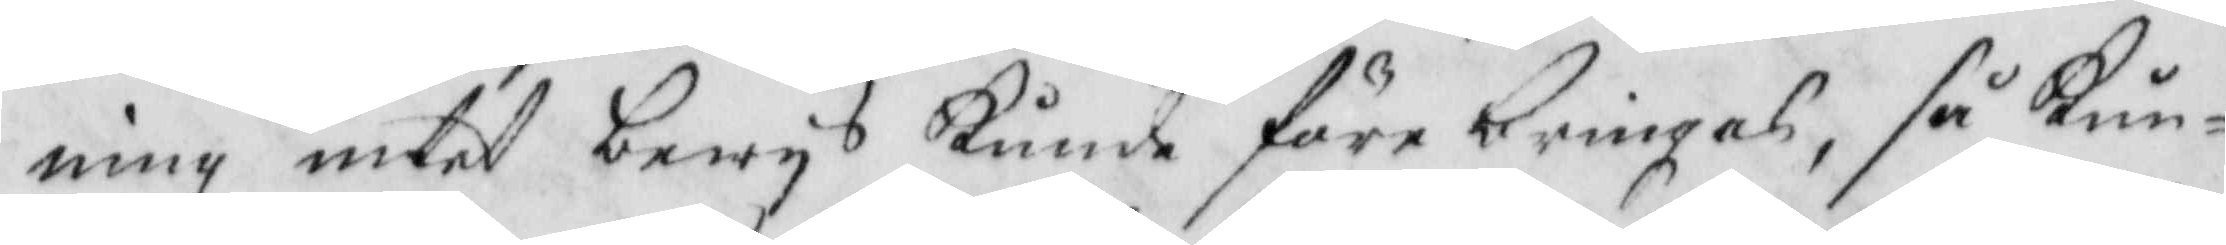ning intet bewys Kunde före bringas, så Kun¬
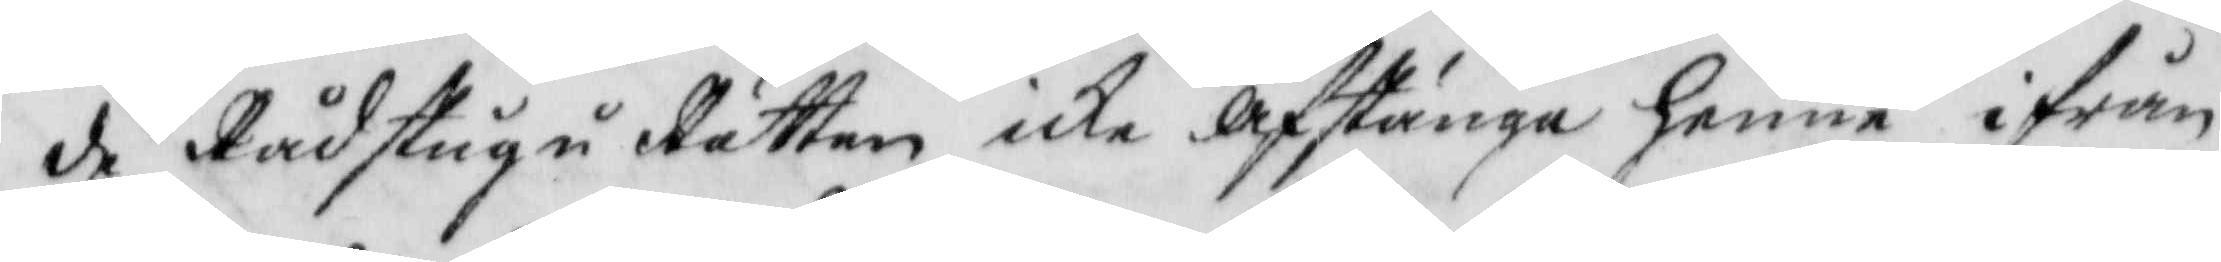de Rådstugu Rätten icke afstänga henne ifrån
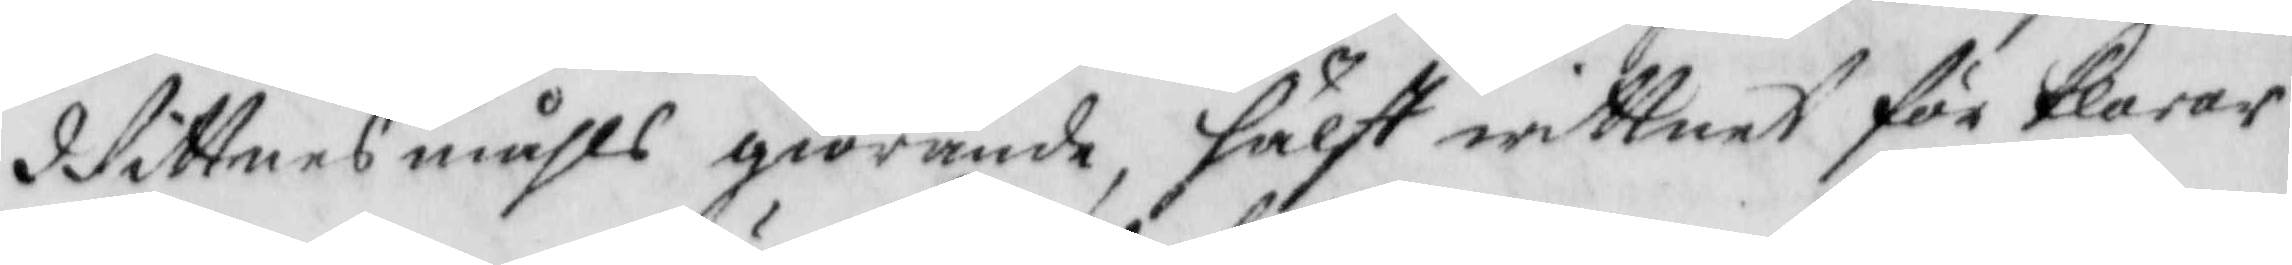Wittnesmåhls giörande hälst wittnet förklarar
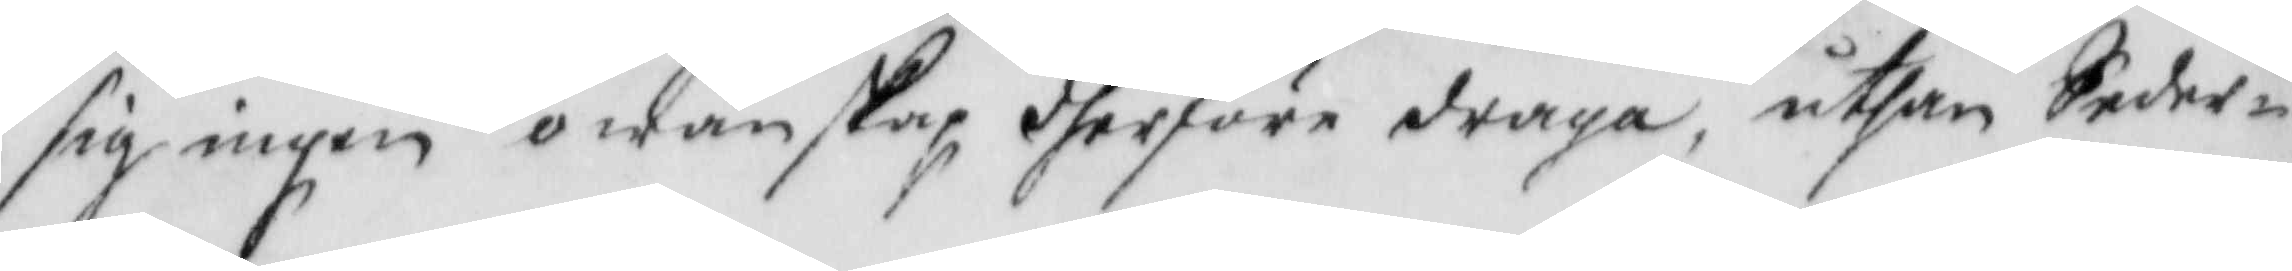sig ingen owänskap dherföre draga, uthan Seder¬
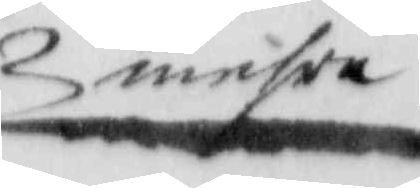mehra
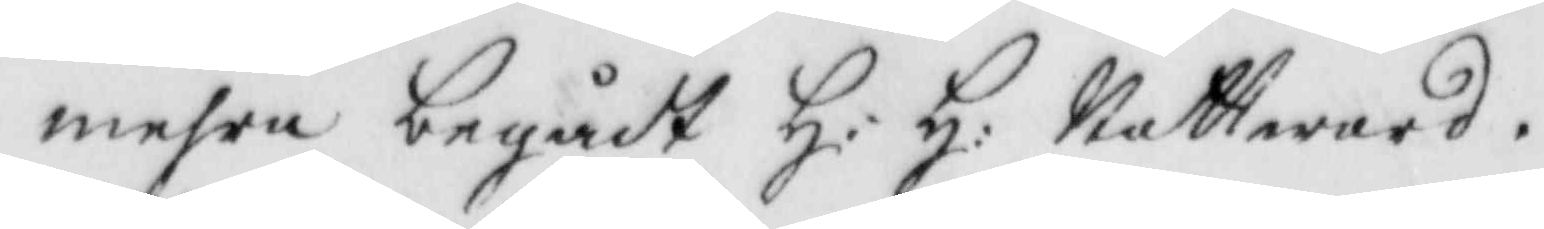mehrabegådt H: H: Nattward.
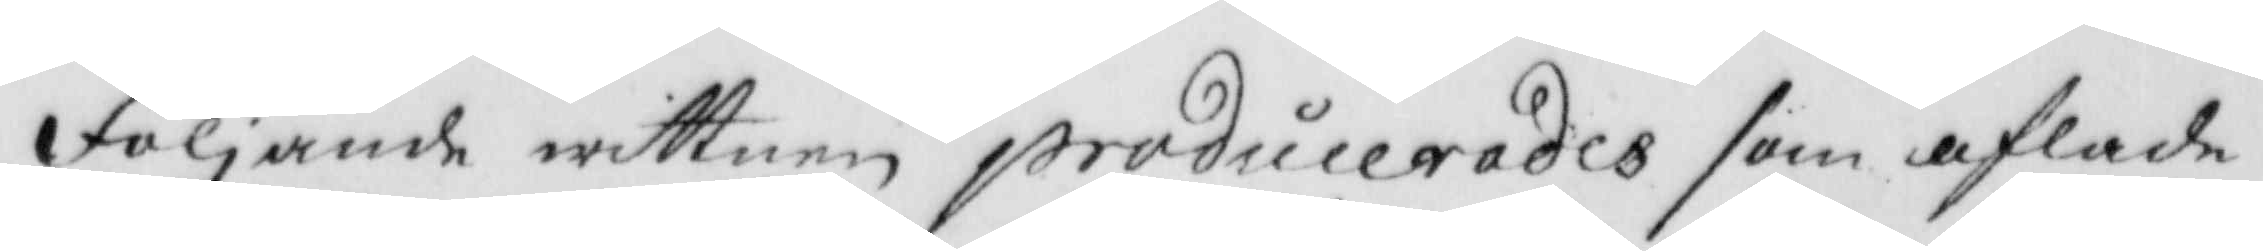Följande wittnen producerades som aflade
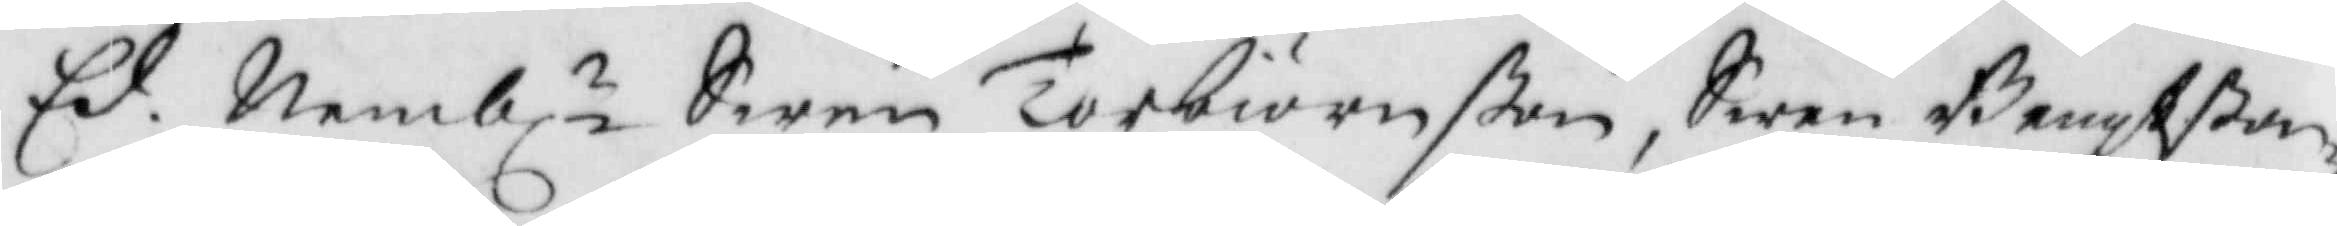Ed. Nembl.n Swen Torbiörnsßon, Swen Bengtßon,
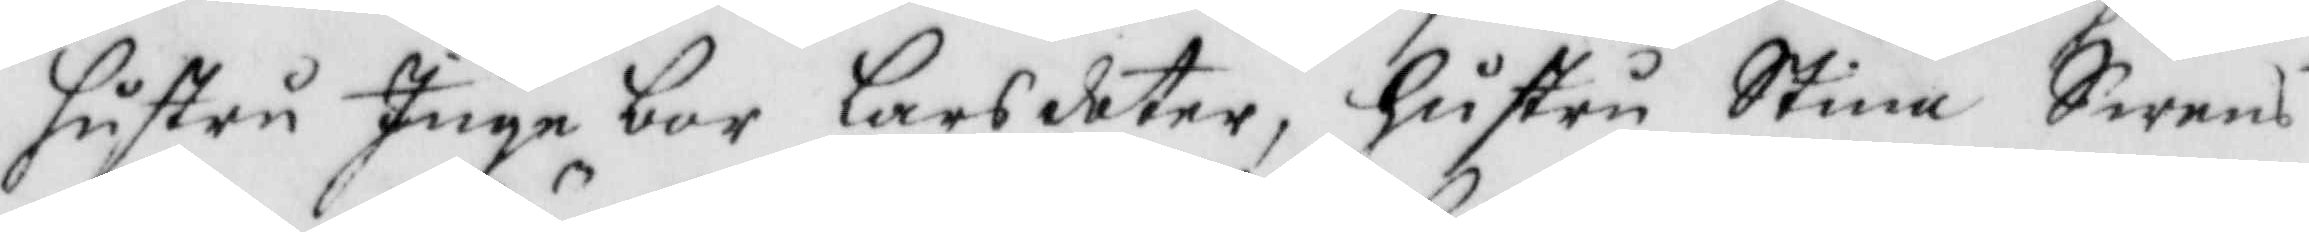hustru Ingebor Larsdoter, hustru Stina Swens
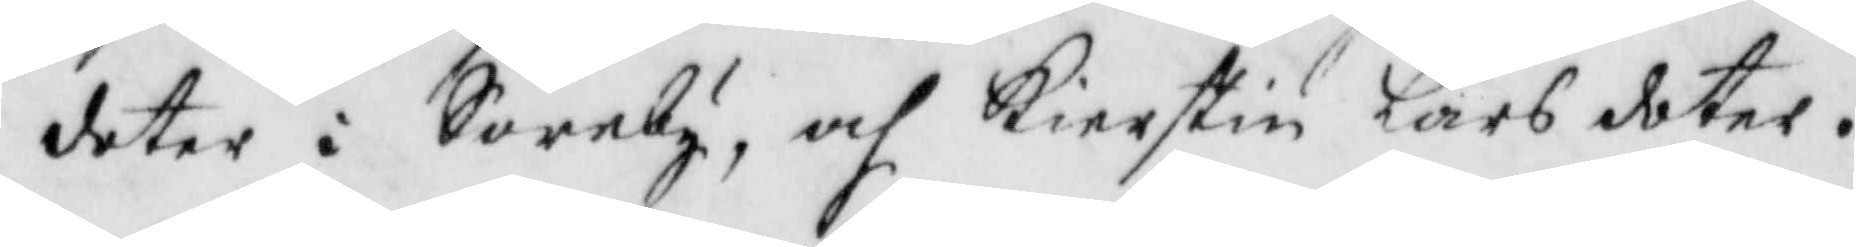doter i Söreby, och Kierstin Lars dotter.
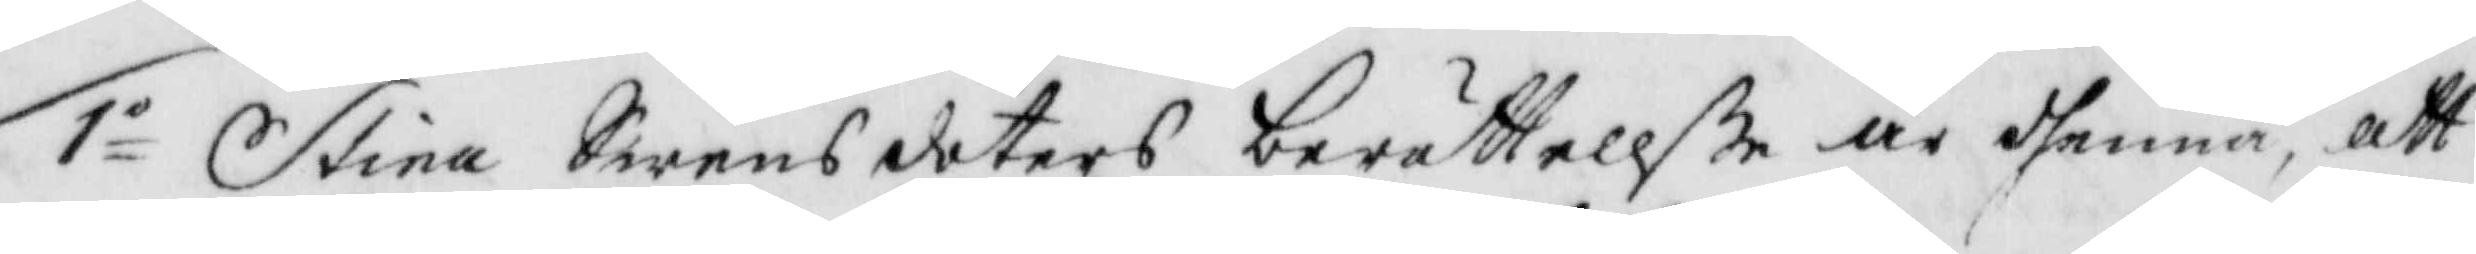1o Stina Swensdoters berättellße är dhenna, att
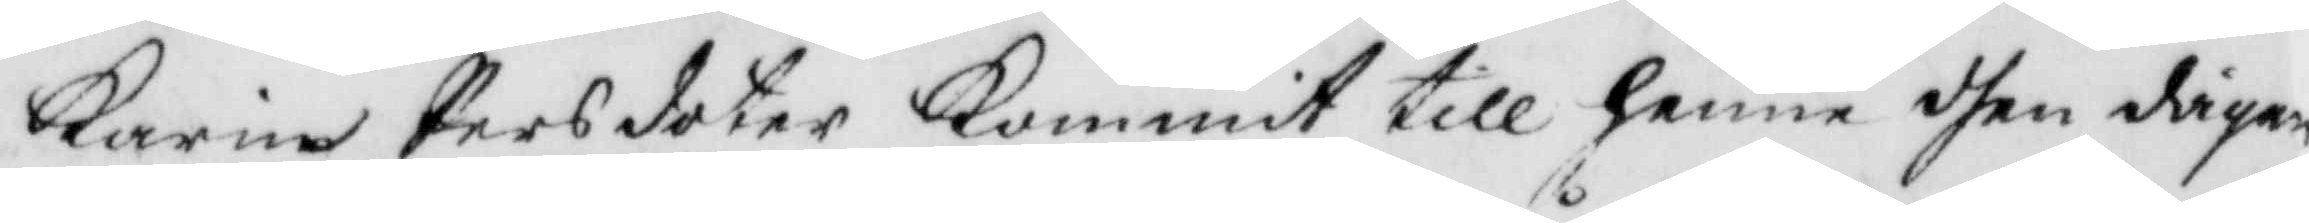Karin Persdotter Kommit till hennen dhen dagen
